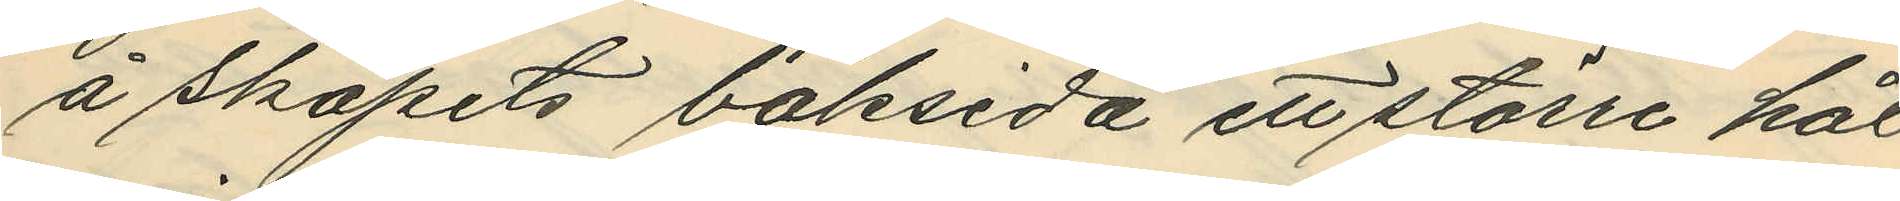å skåpets baksida ett större hål
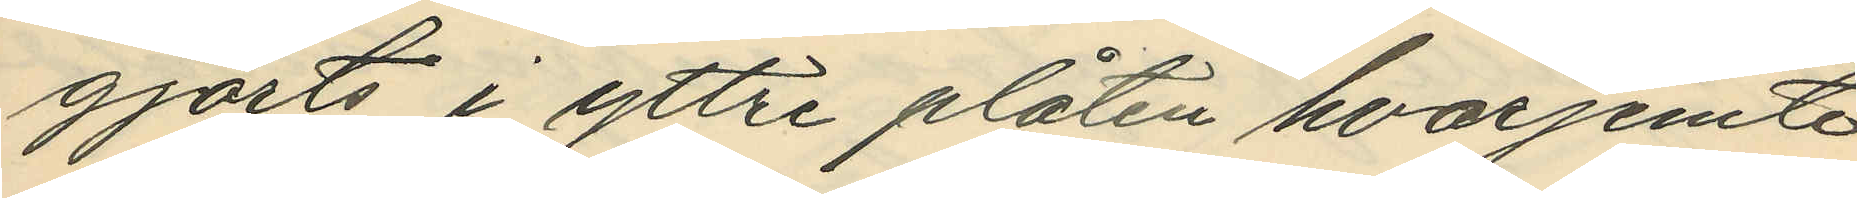gjorts i yttre plåten hvarjemte
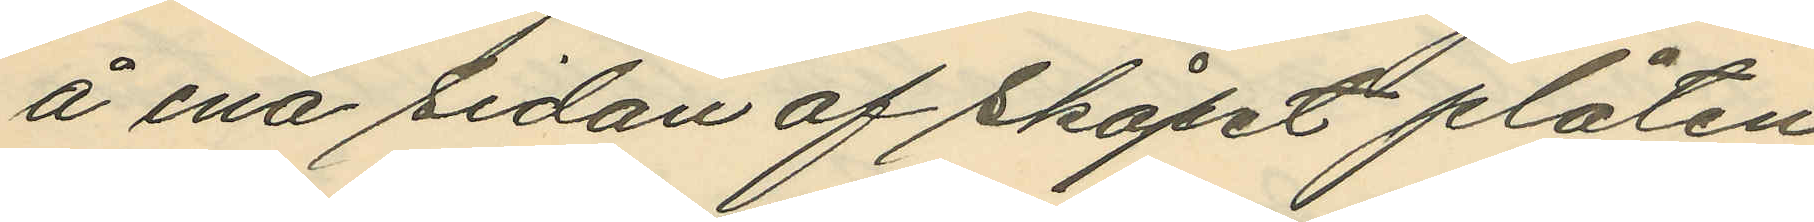å ena sidan af skåpet plåten
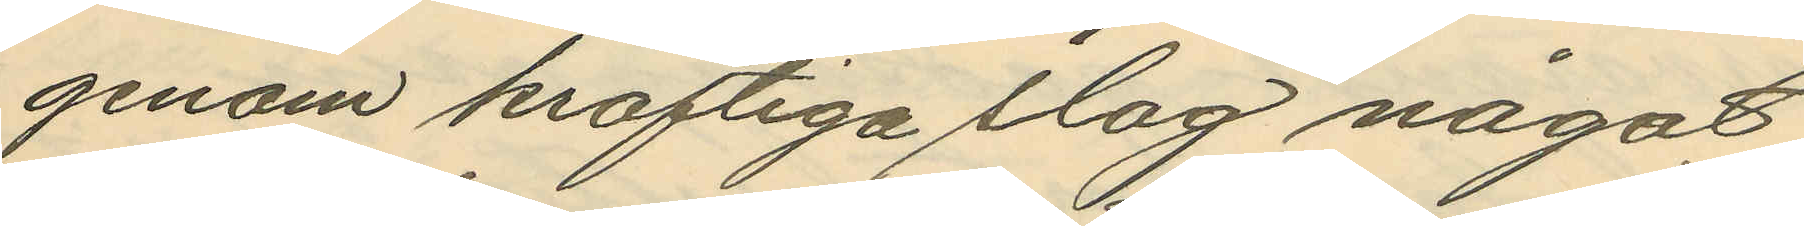genom kraftiga slag något
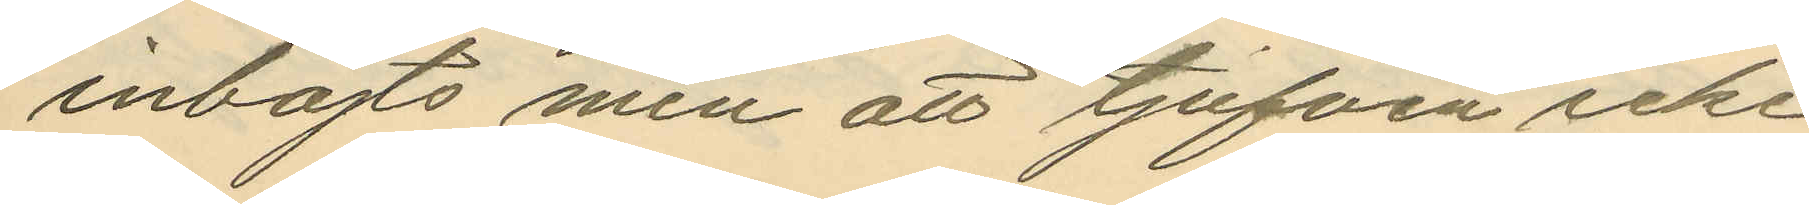inböjts men att tjufven icke
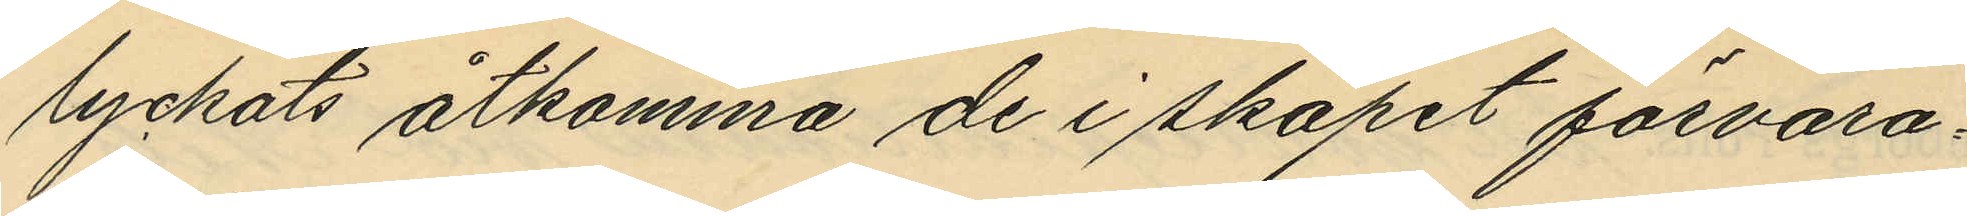lyckats åtkomma de i skåpet förvara¬
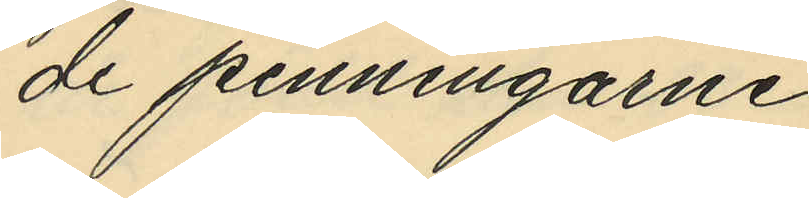de penningarne.
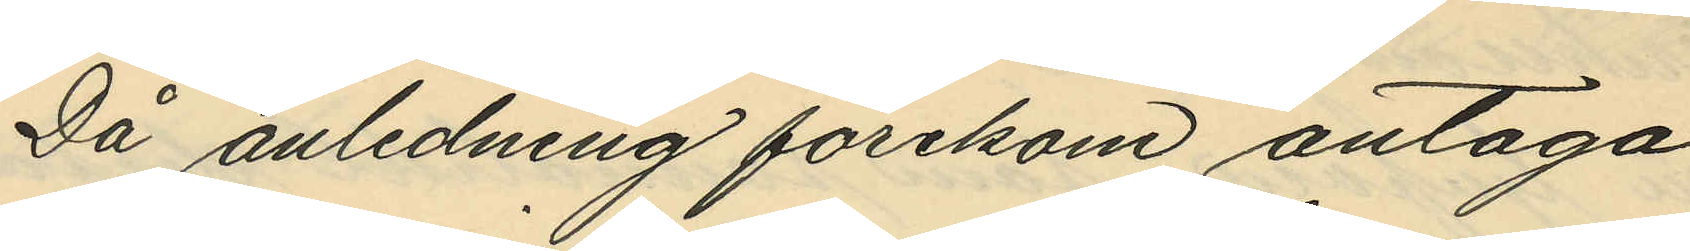Då anledning förekom antaga
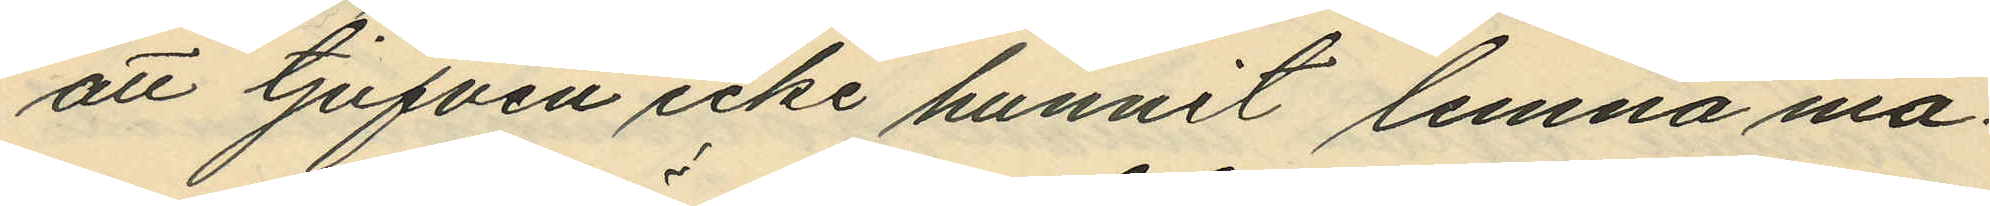att tjufven icke hunnit lemna ma¬
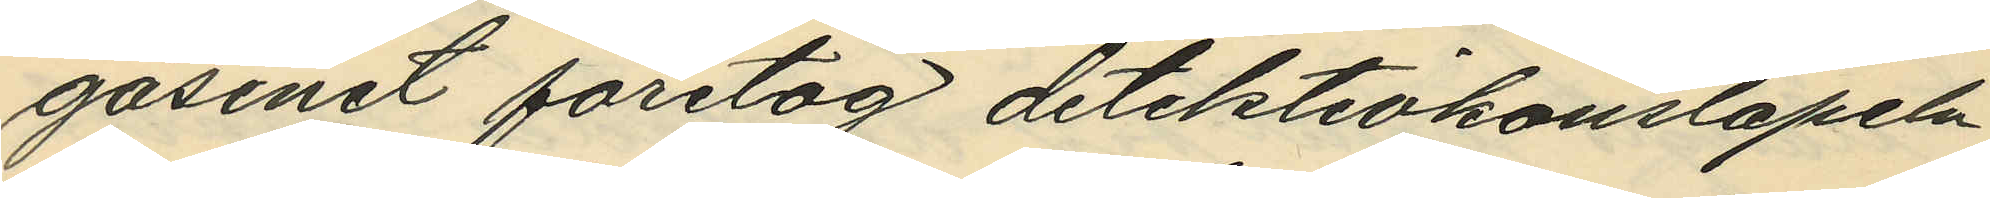gasinet företog detektivkonstapeln
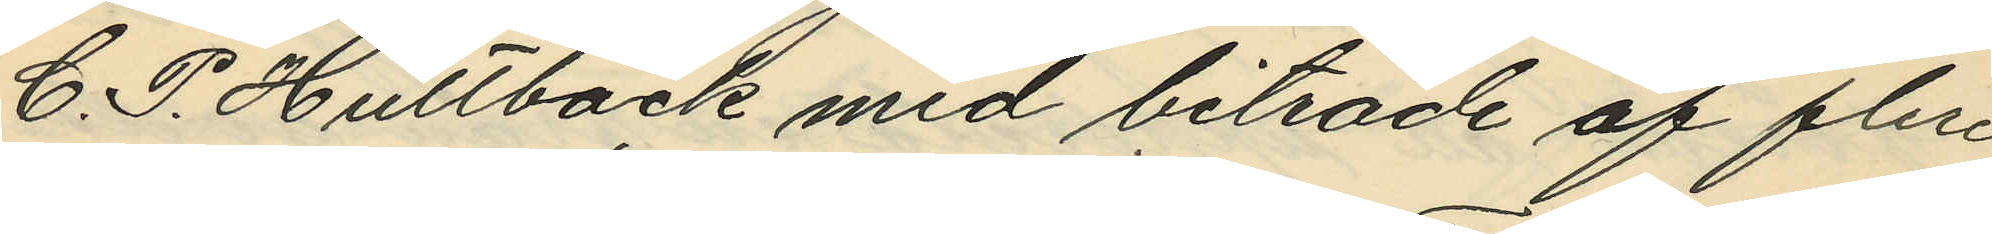C. P. Hultbäck med biträde af flere
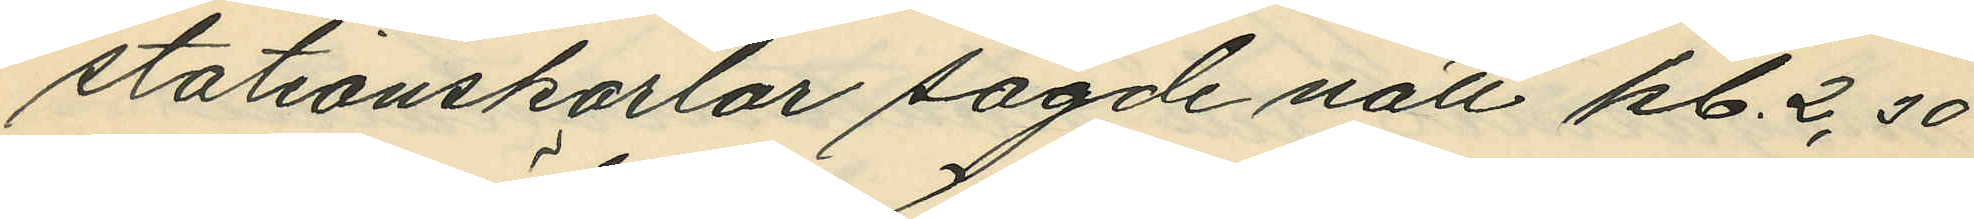stationskarlar sagde natt kl. 2,30
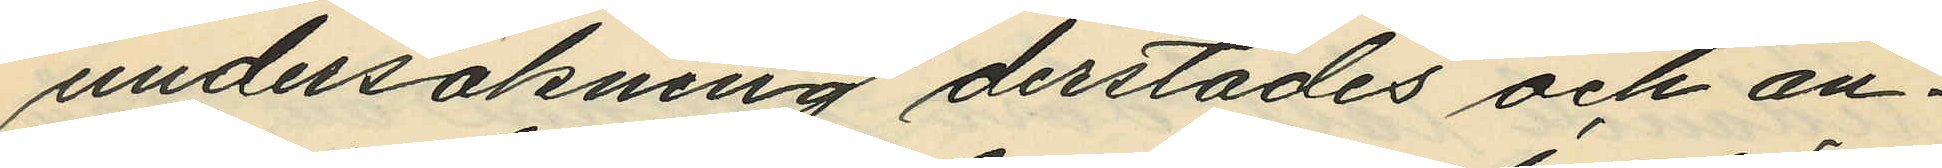undersökning derstädes och an¬
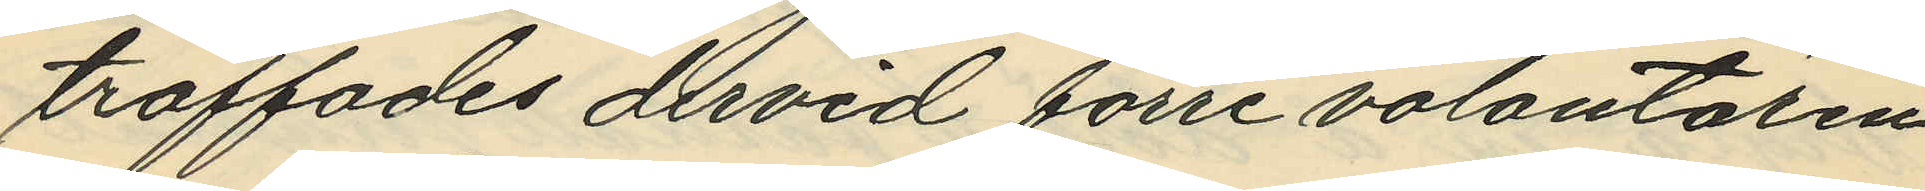träffades dervid förre volontären
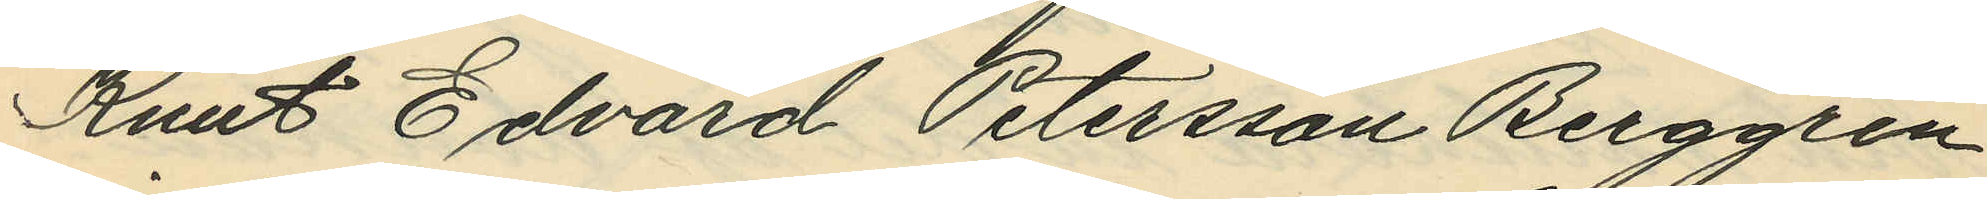Knut Edvard Petersson Berggren
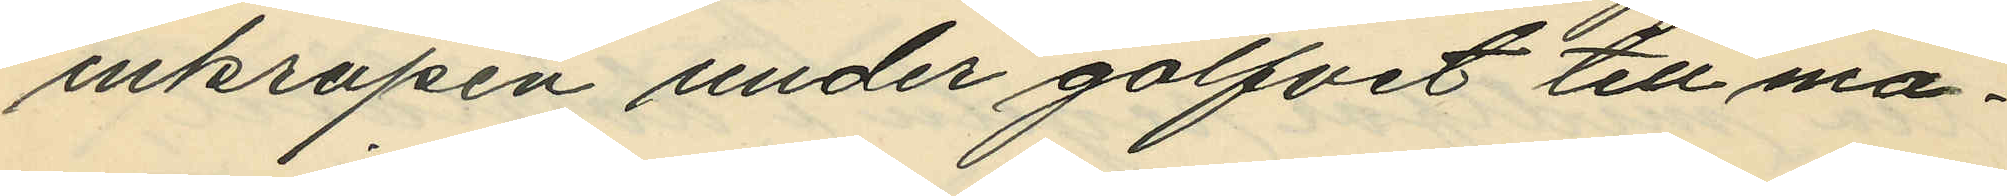inkrupen under golfvet till ma¬
